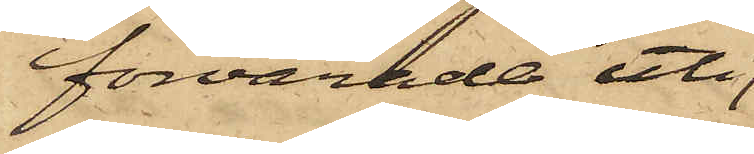förvarade uti
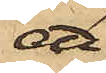ett
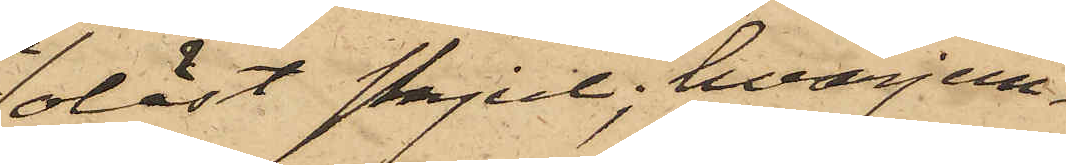olåst skjul, hvarjem¬
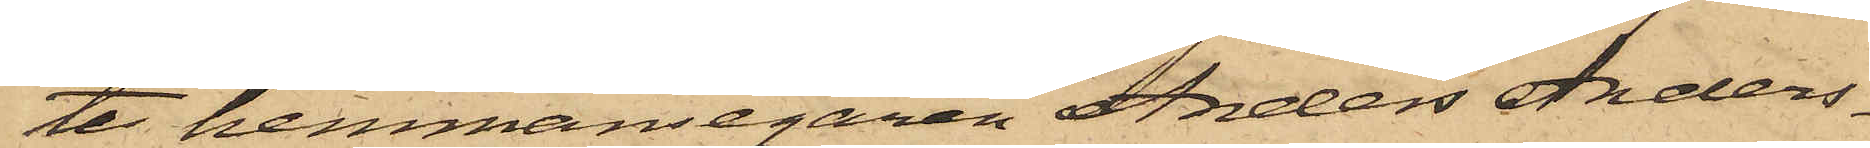te hemmansegaren Anders Anders¬
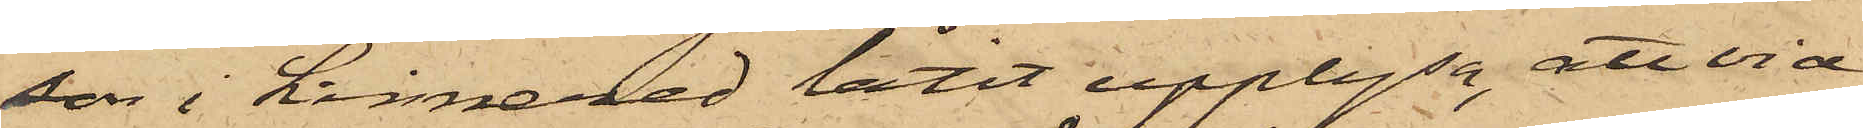son i Linnered låtit upplysa, att vid
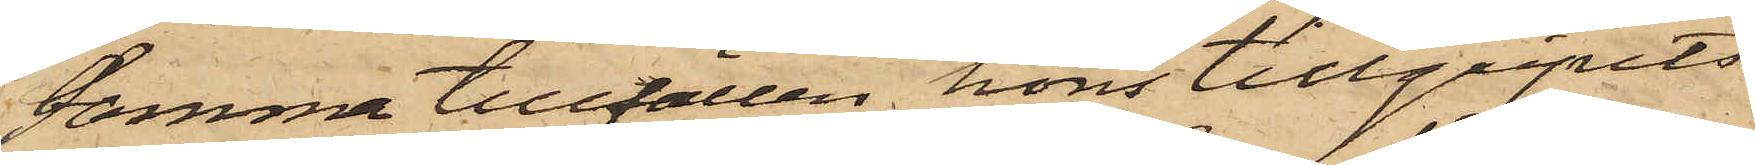samma tillfällen höns tillgripits
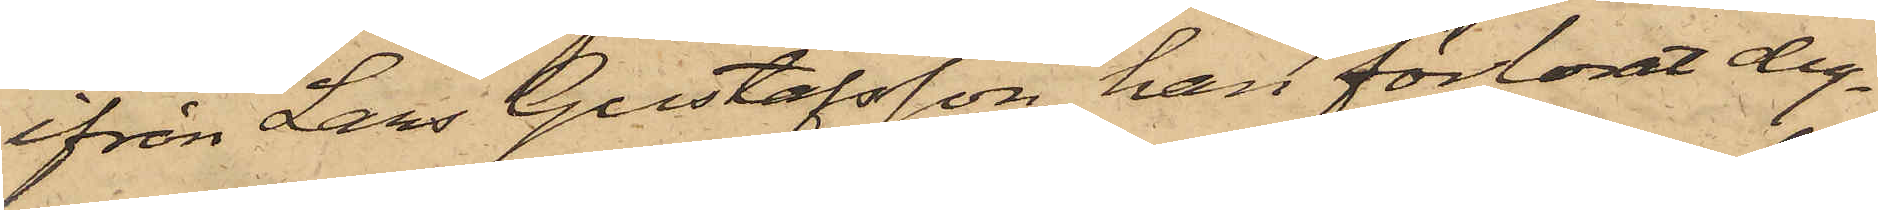ifrån Lars Gustafsson, han förlorat dy¬
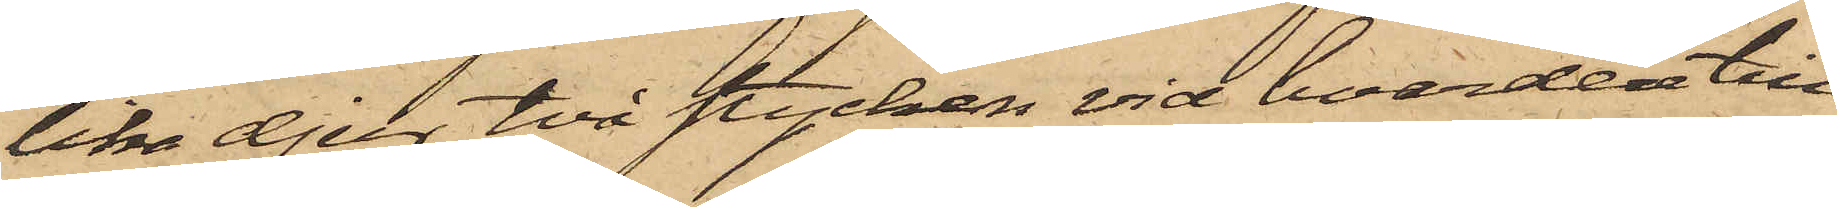lika djur, två stycken vid hvardera till¬
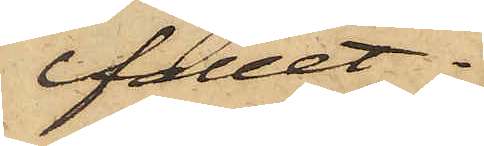fället.
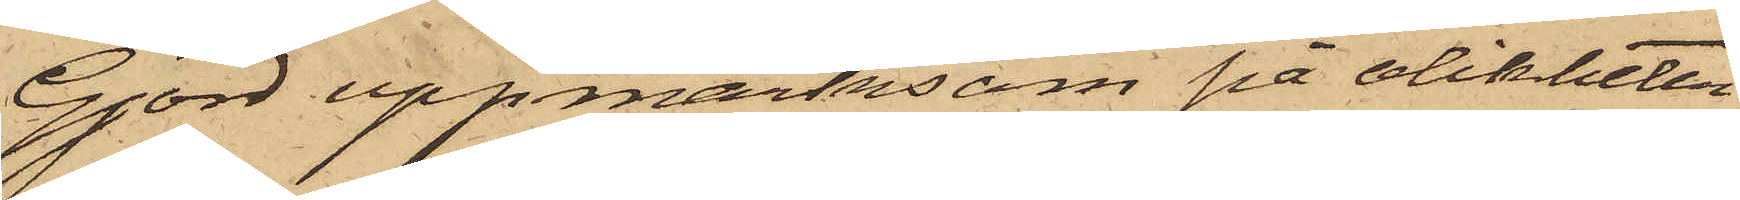Gjord uppmärksom på olikheten
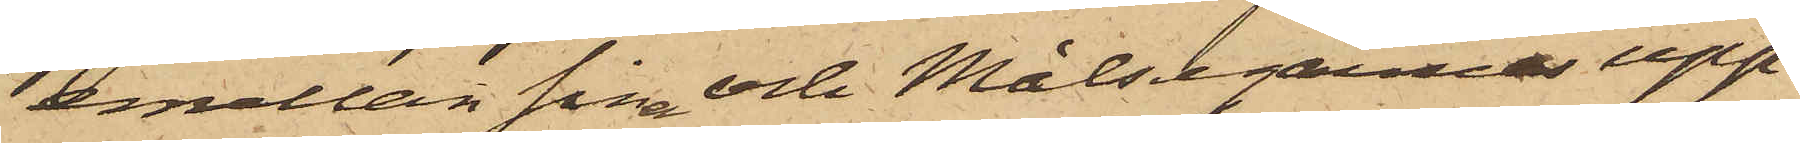emellan sin och Målsegarne upp¬
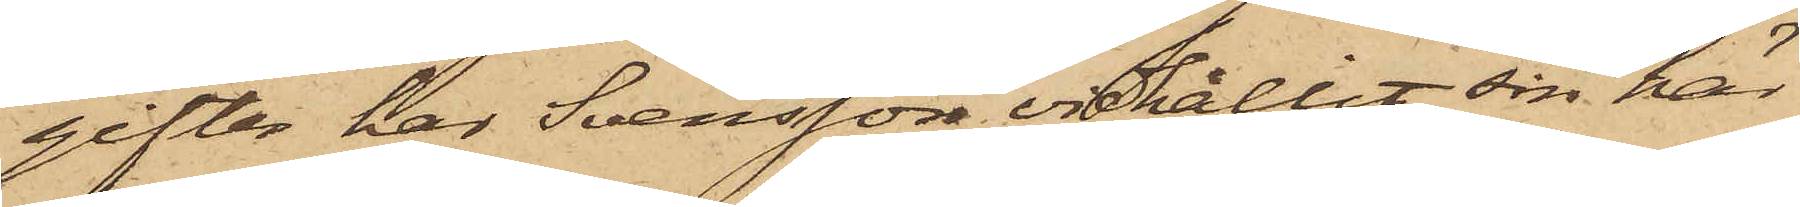gifter har Svensson vidhållit sin här
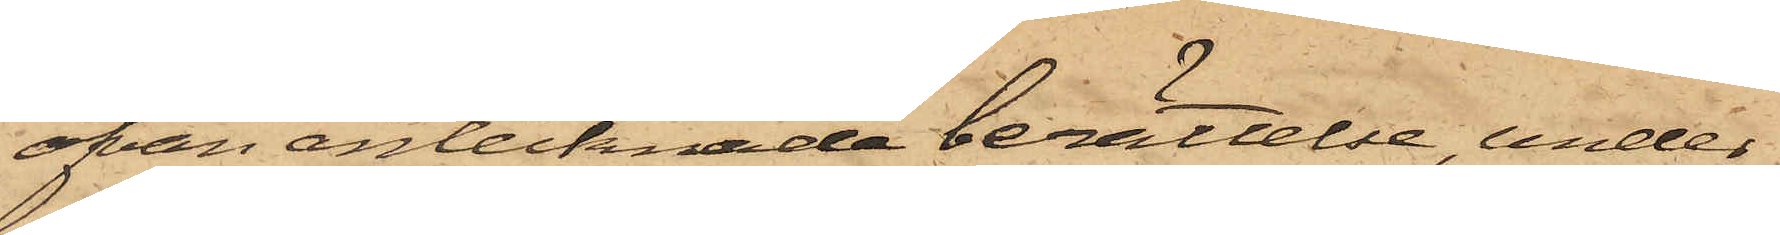ofvan antecknade berättelse, under
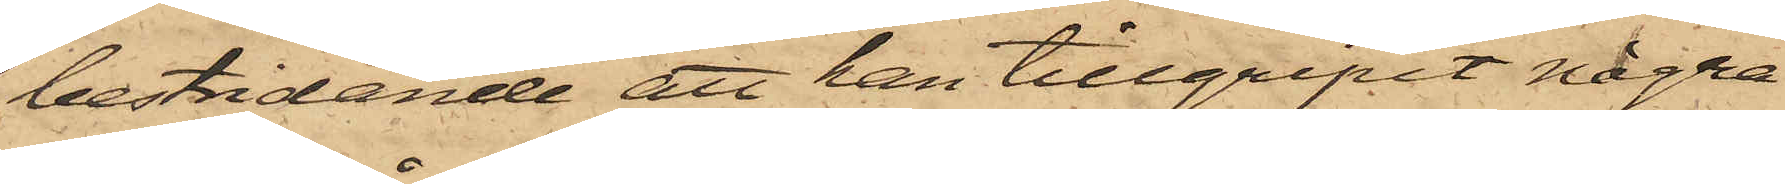bestridande att han tillgripit några
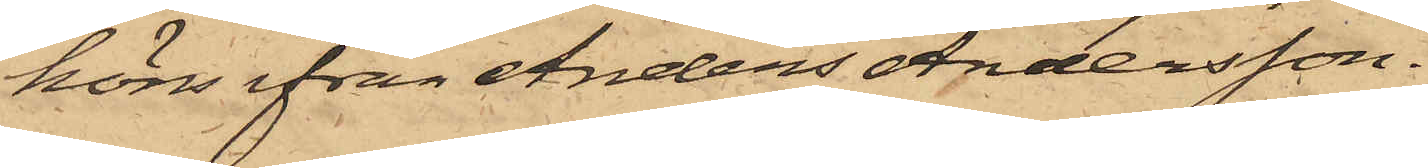höns ifrån Anders Andersson.
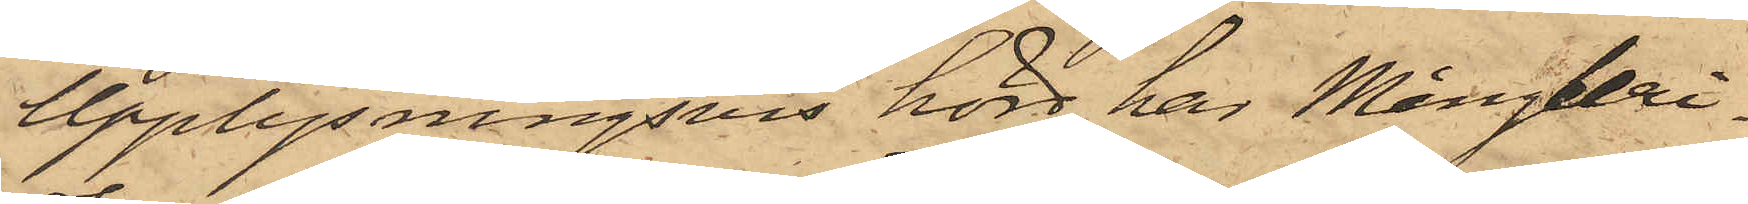Upplysningsvis hörd har Mångleri¬
